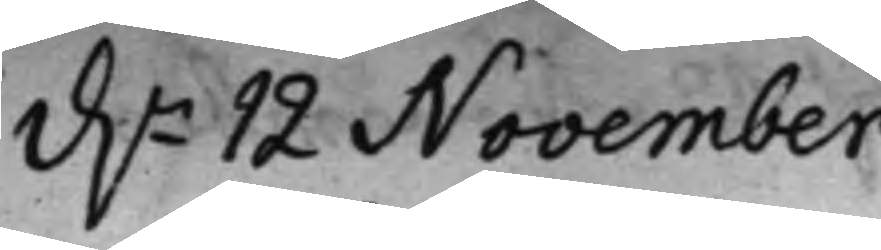d.n 12 November
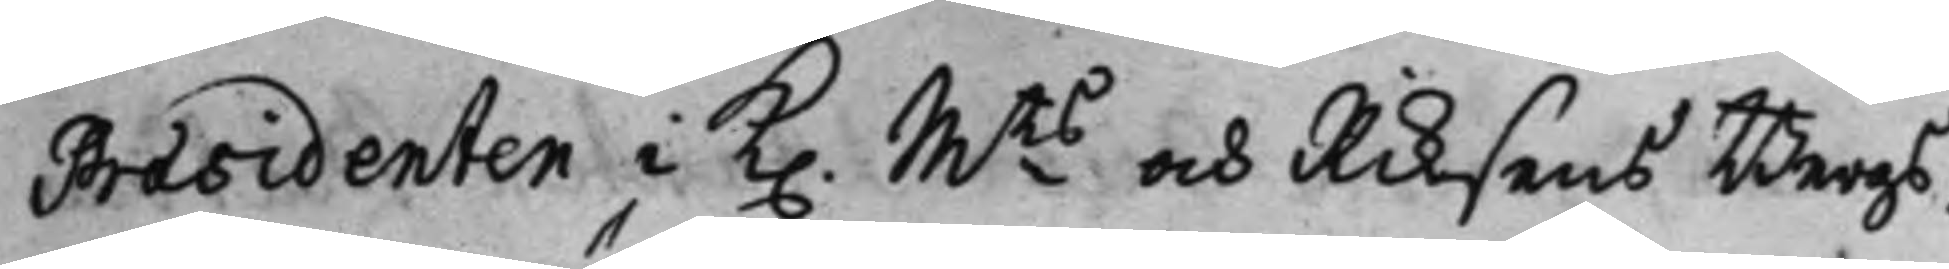Præsidenten i K. Mts och Riksens Bergs¬
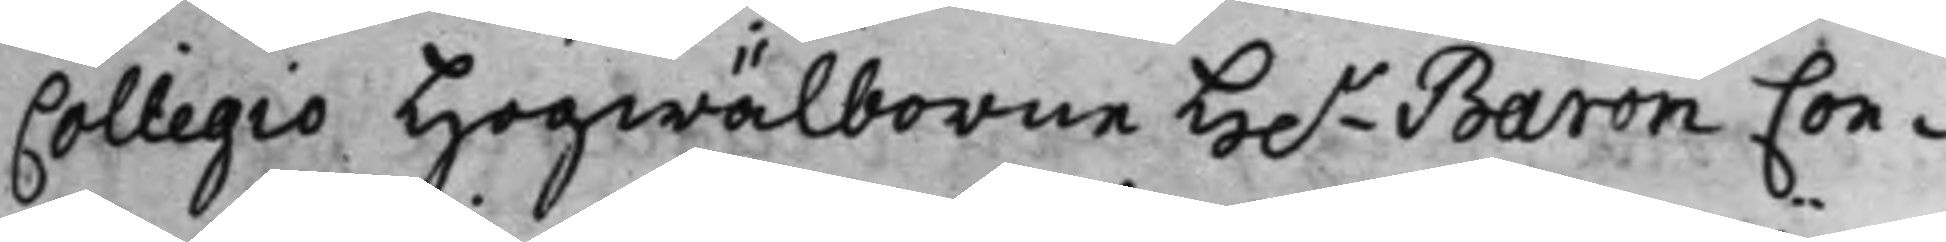Collegio Högwälborne H.r Baron Con¬
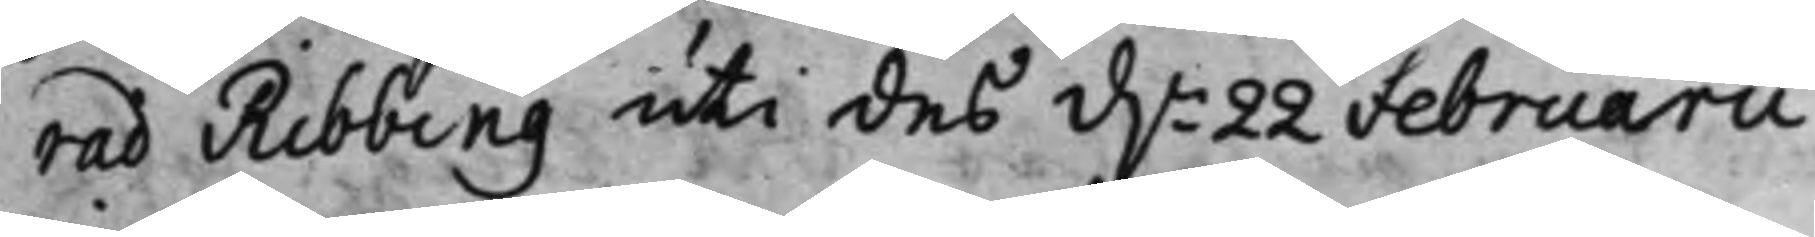rad Ribbing uti des d.n 22 Februarii
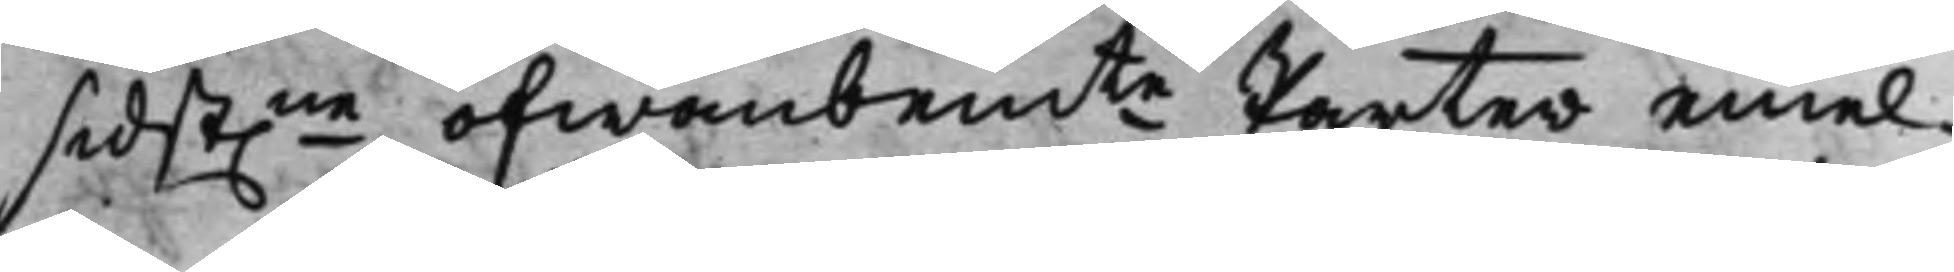sidst.ne ofwanbemte Parter emel¬
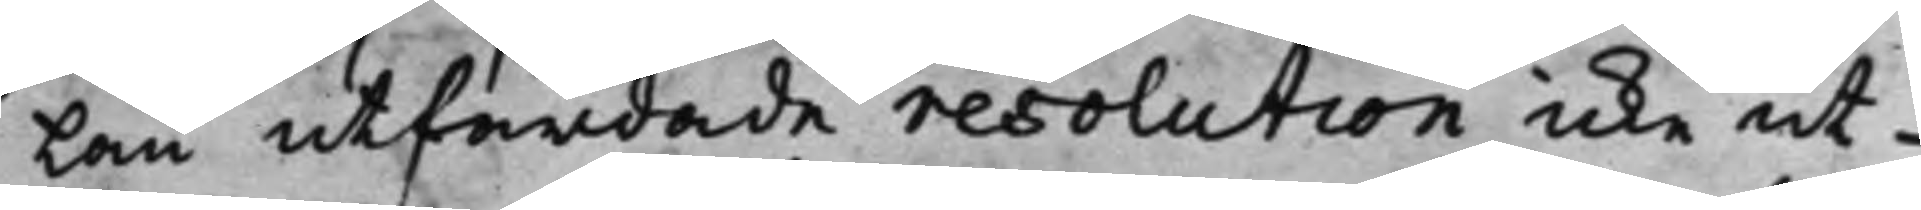lan utfärdade resolution icke ut¬
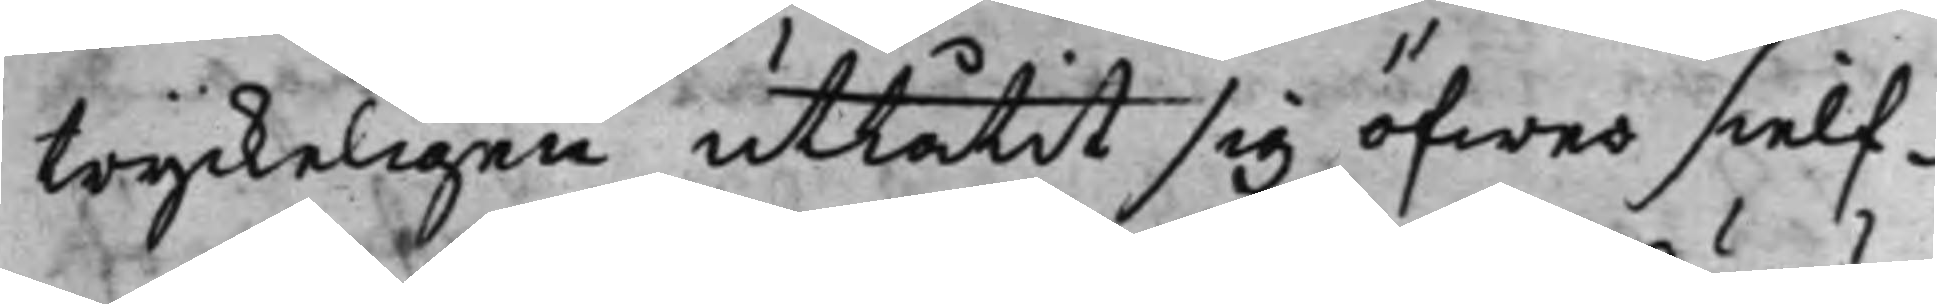tryckeligen utlåtit sig öfwer sielf¬
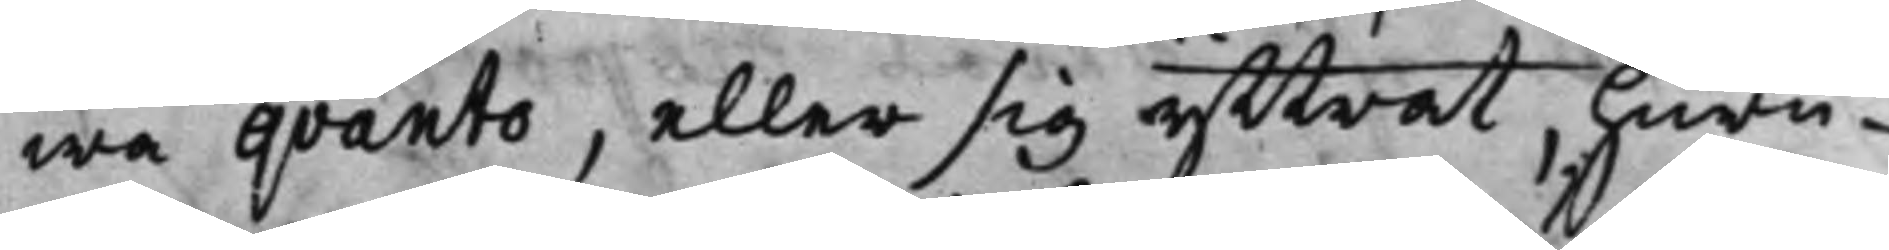wa qvanto, eller sig yttrat, huru¬
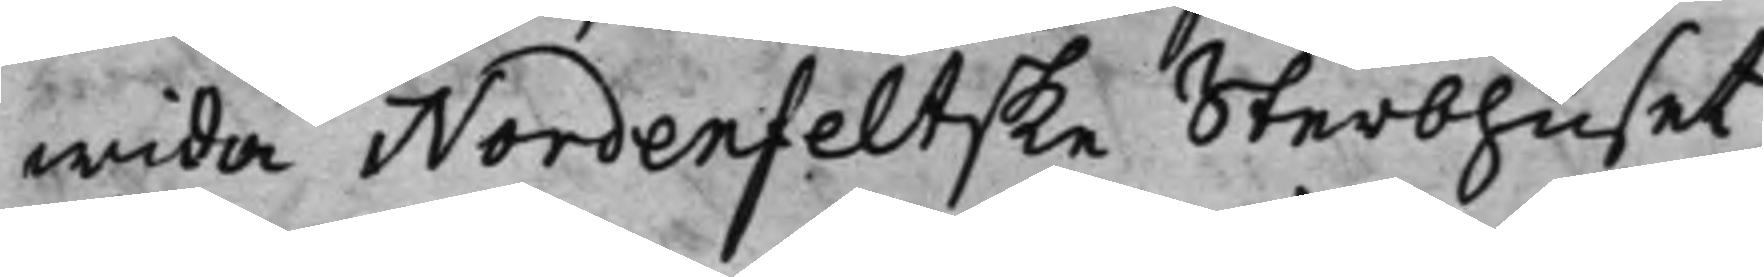wida Nordenfeltske Sterbhuset
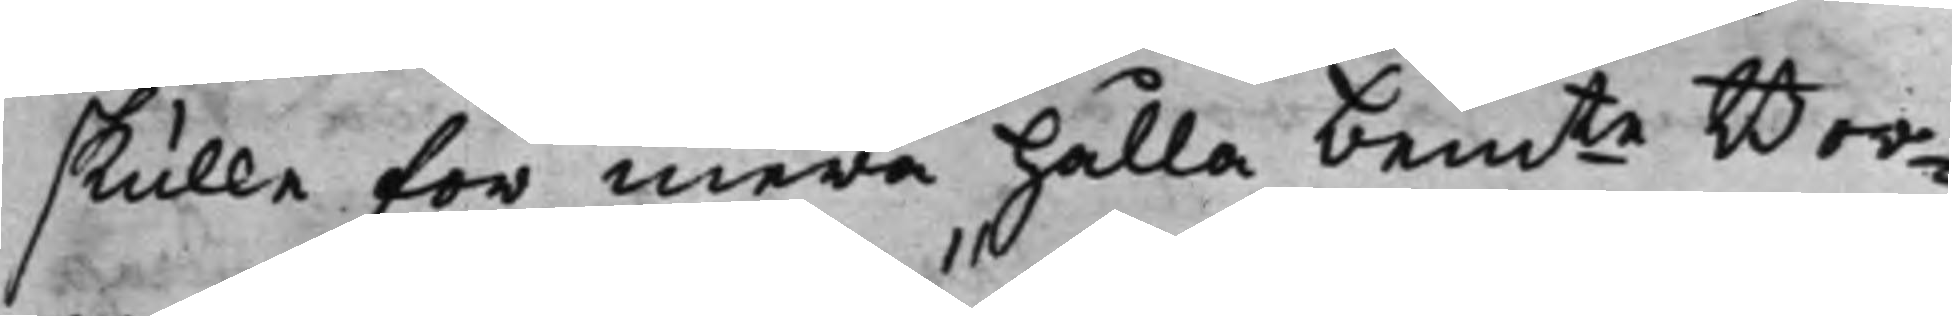skulle för mera hålla bemte Bor¬
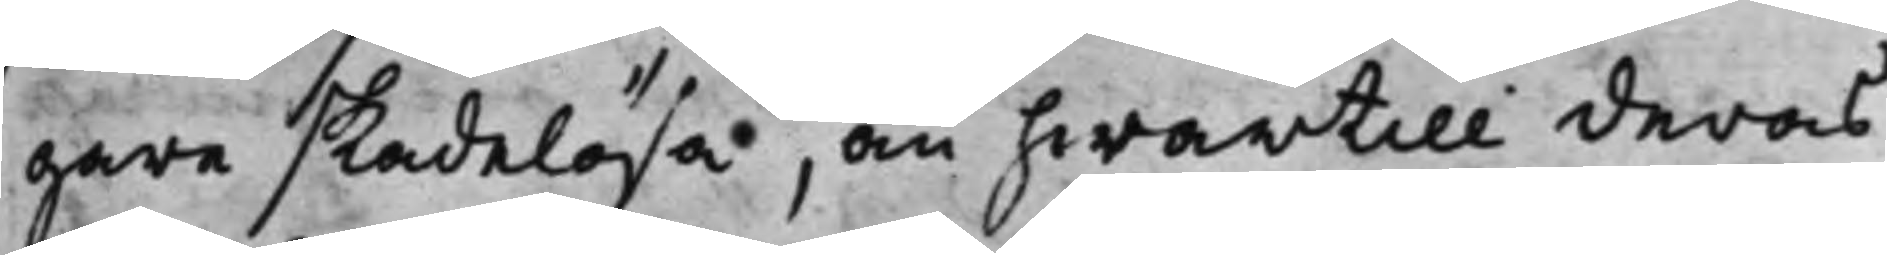gare skadelösa, än hwartill deras
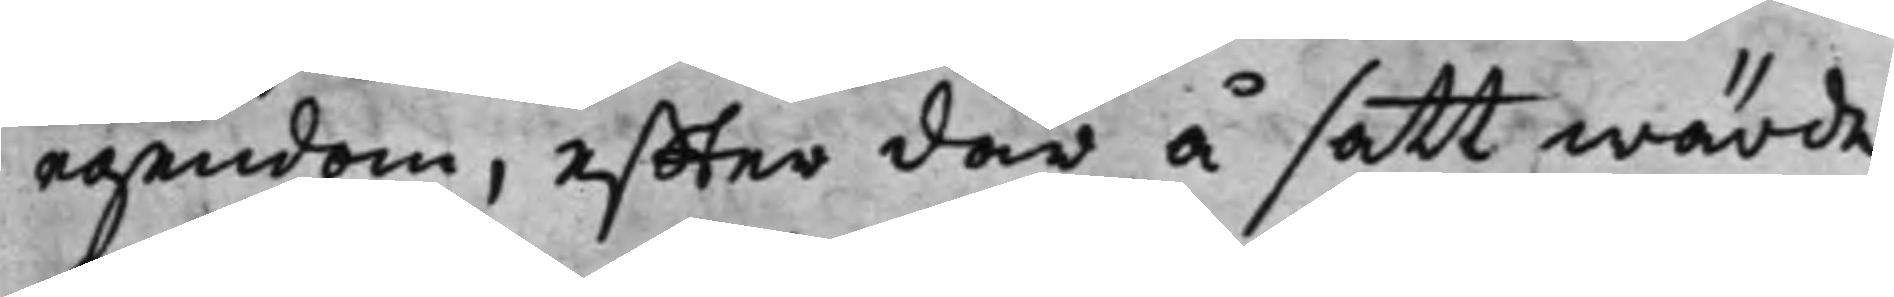egendom, effter där å satt wärde,
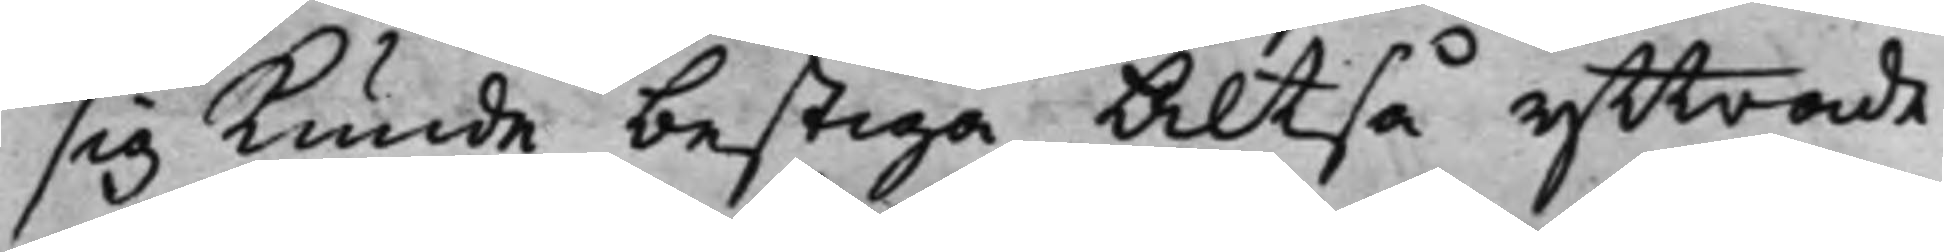sig kunde bestiga Altså yttrade
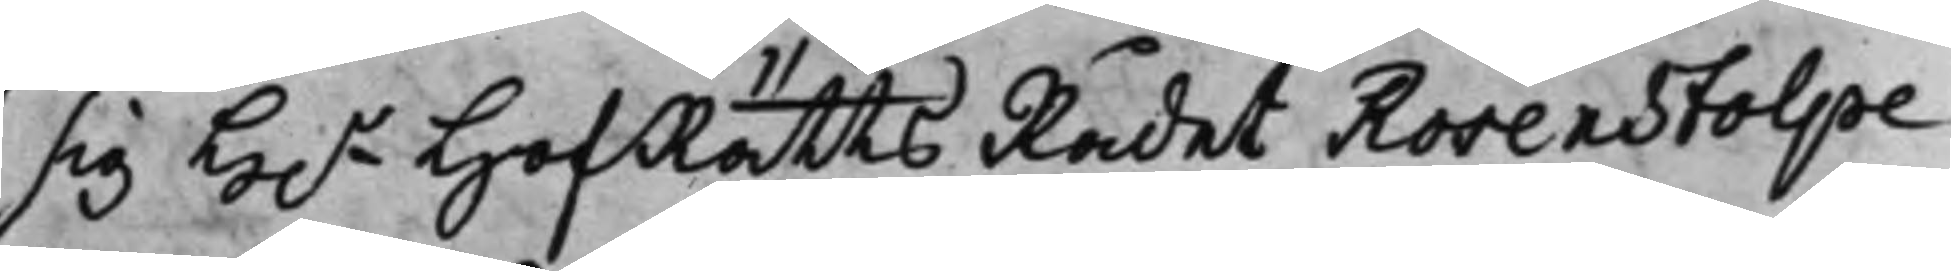sig H.r HofRätts Rådet Rosenstolpe
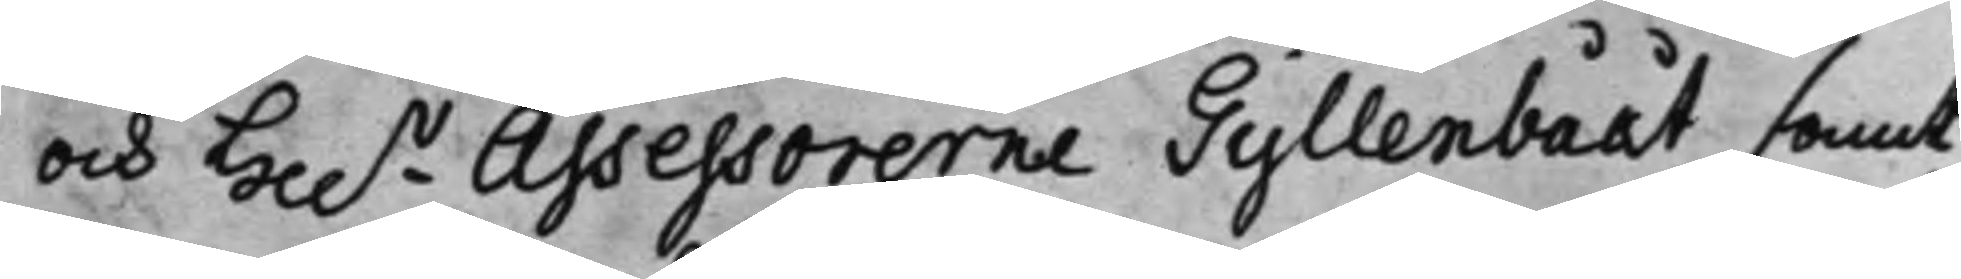och Hh.r Assessorerne Gyllenbååt samt
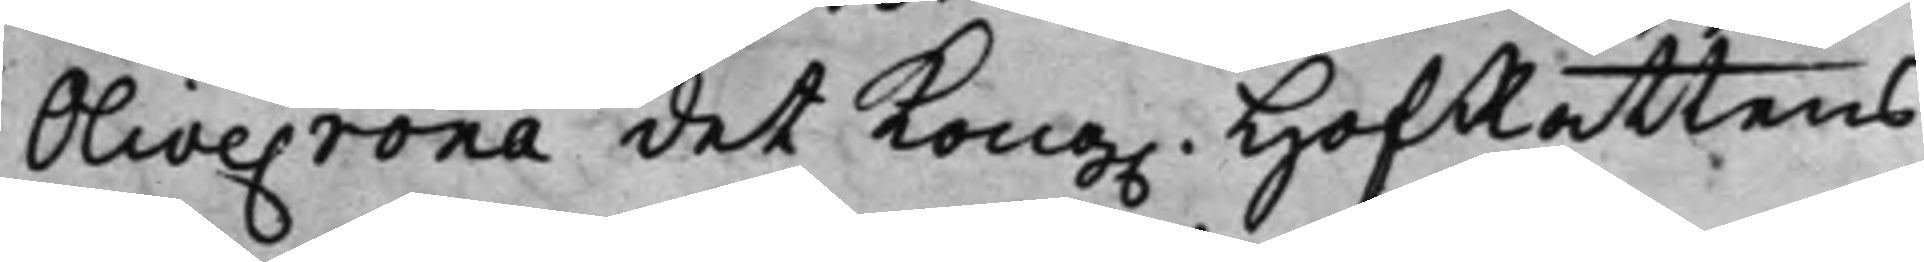Olivecrona det Kong. HofRättens
